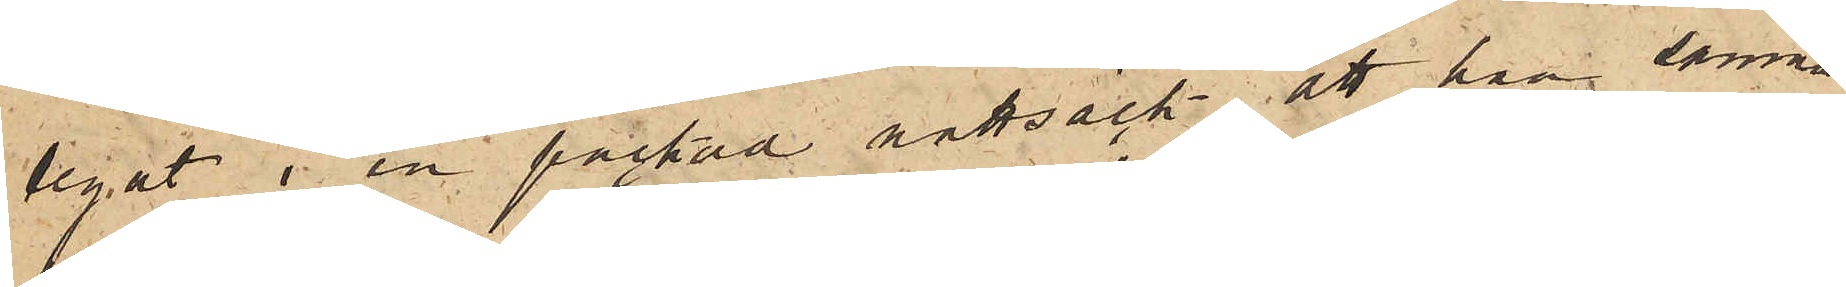legat i en packad nattsäck; att han samma
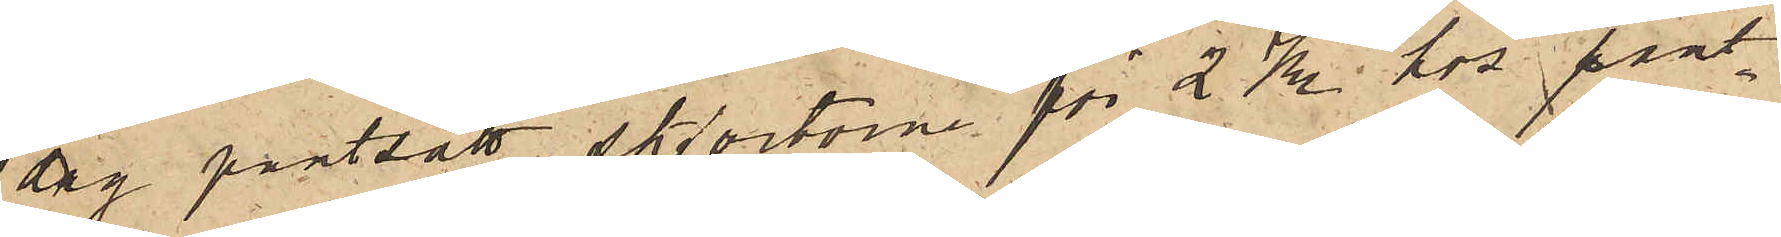dag pantsatt skjortorna för 2 Kr. hos pant¬
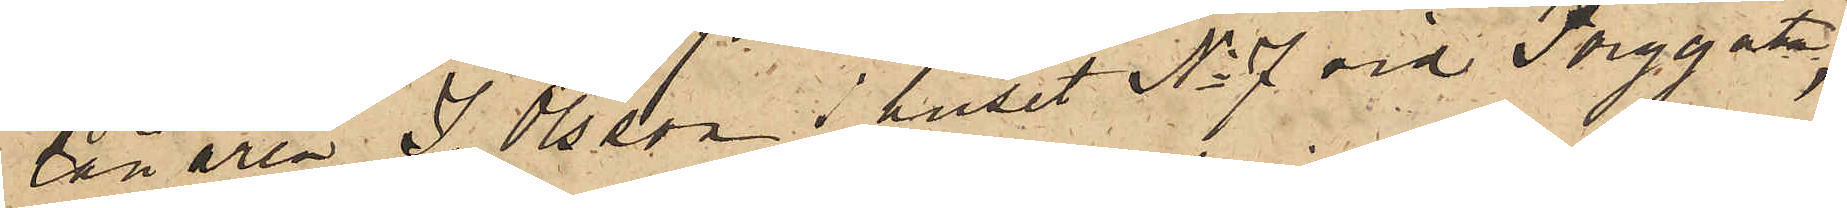lånaren J. Olsson i huset No 7 vid Torggatan;
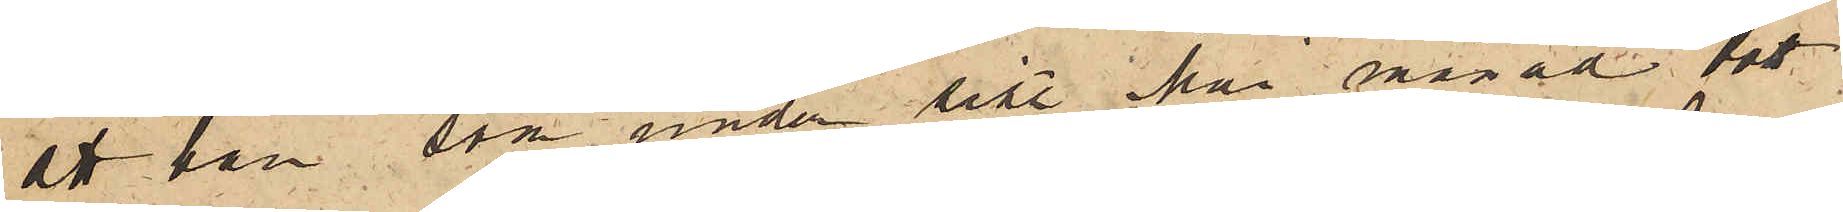att han, som under sist. Mai månad bott
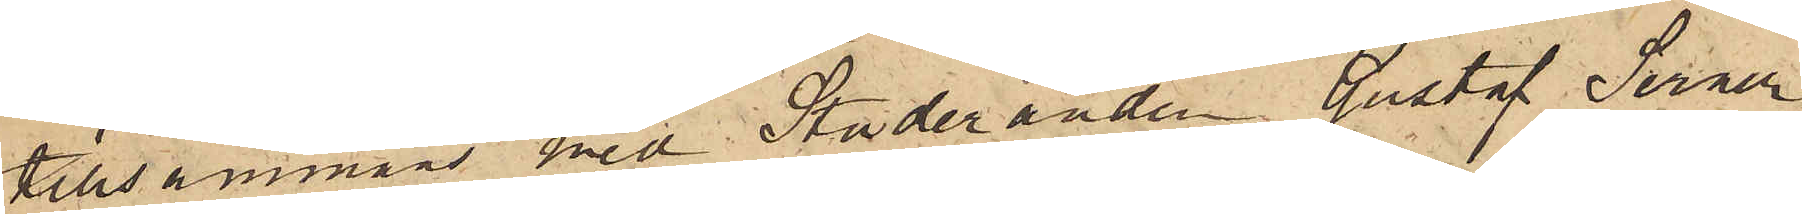tillsammans med Studeranden Gustaf Serner
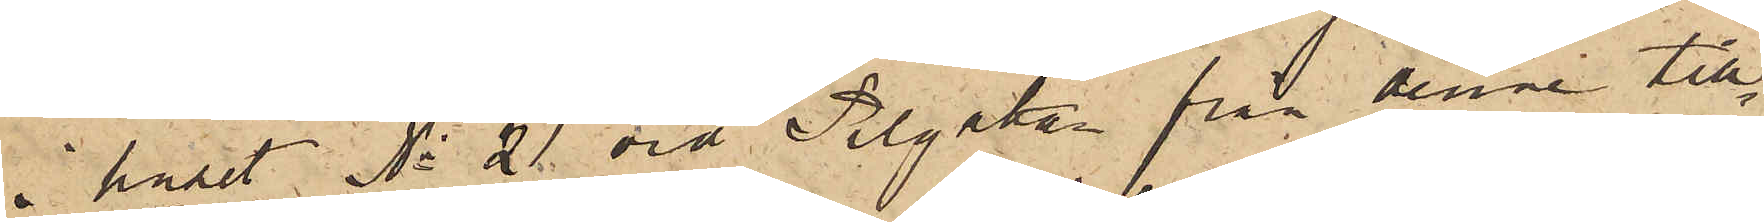i huset No 21 vid Pilgatan från denne till¬
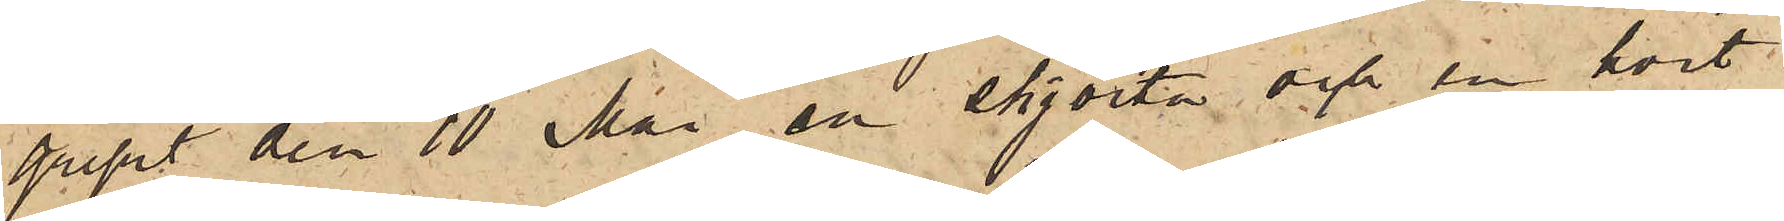gripit den 10 Mai en skjorta och en hvit
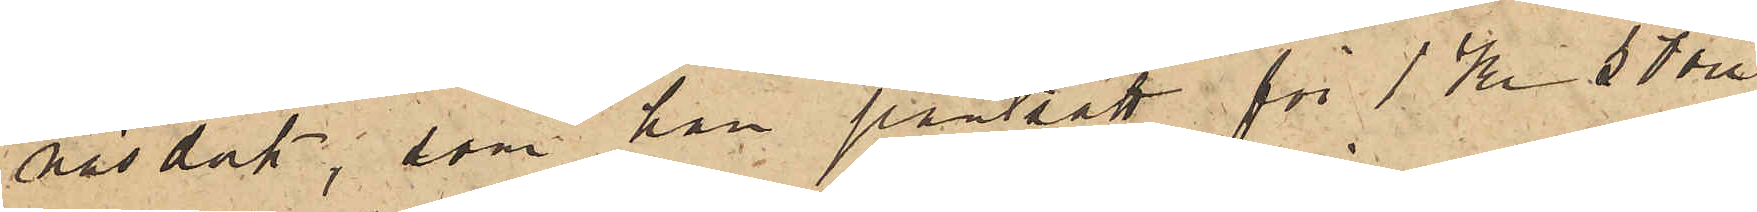näsduk, som han pantsatt för 1 Kr 50 öre,
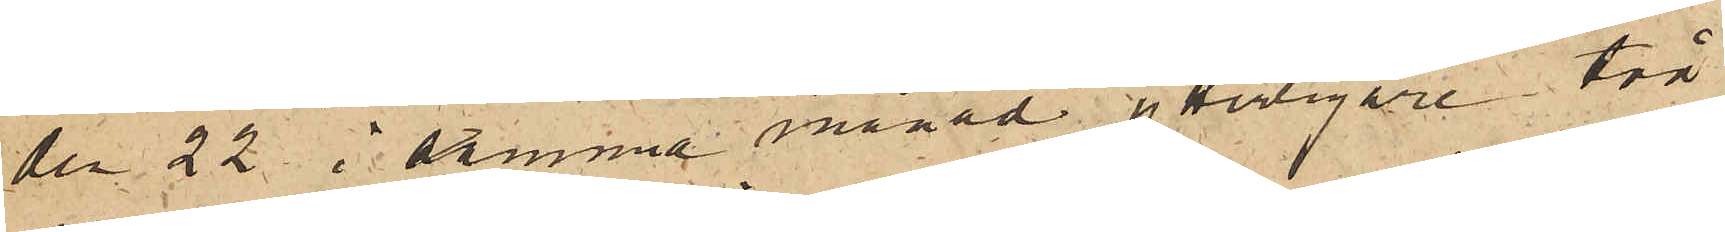den 22 i samma månad ytterligare två
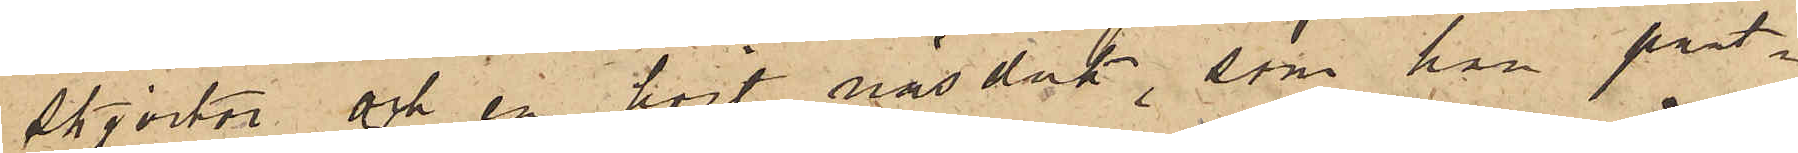skjortor och en hvit näsduk, som han pant¬
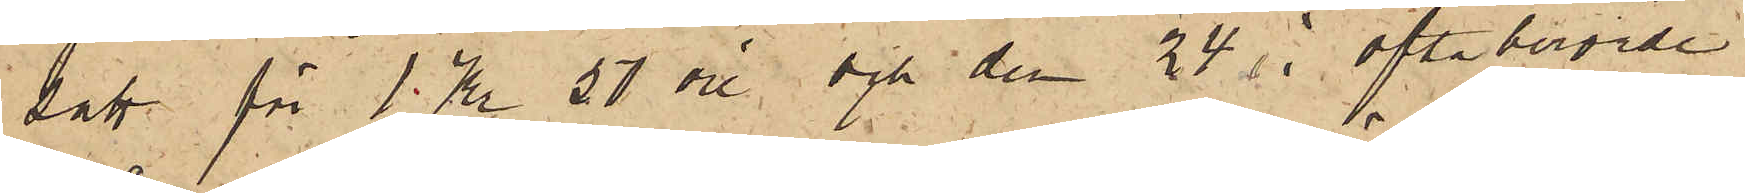satt för 1 Kr 50 öre och den 24 i oftaberörde
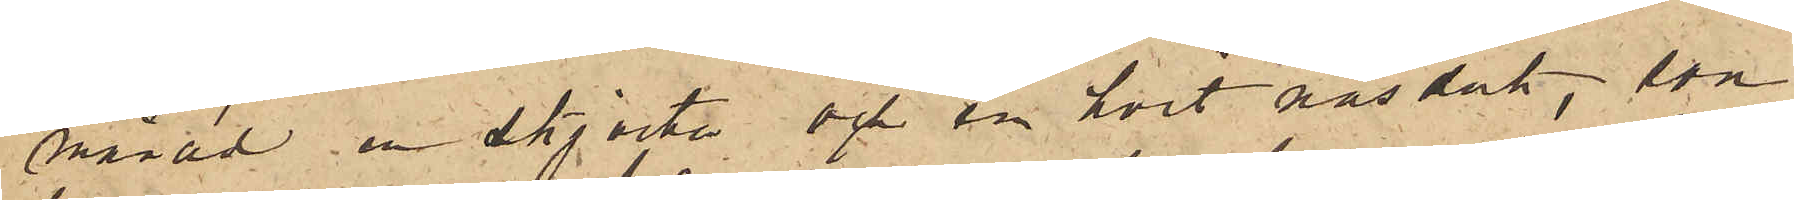månad en skjorta och en hvit näsduk, som
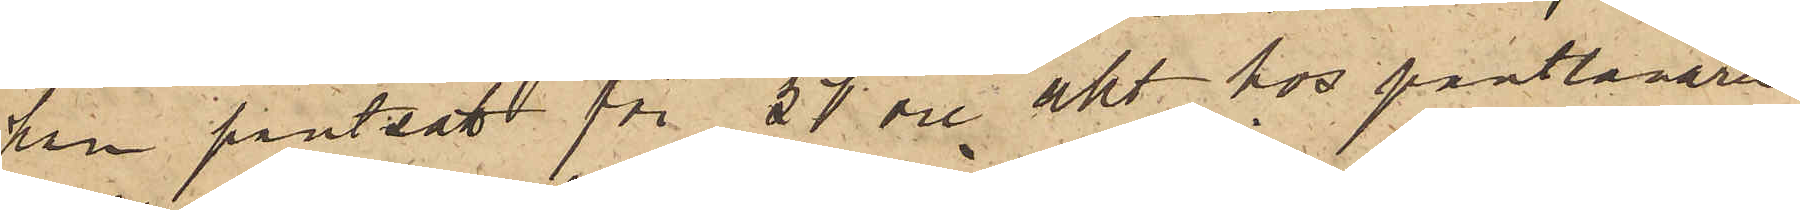han pantsatt för 27 öre sty. hos pantlånaren
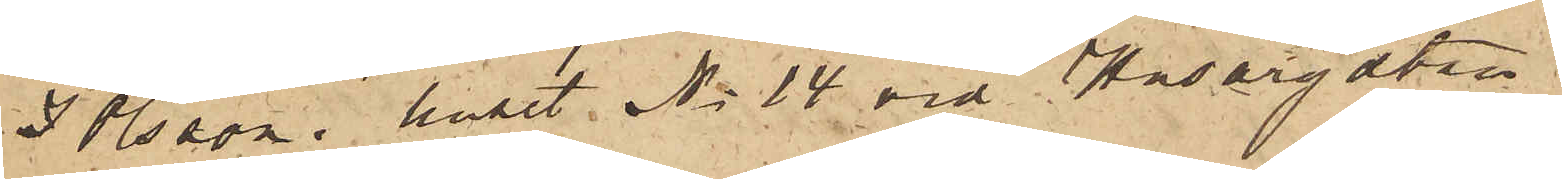J Olsson i huset No 14 vid Husargatan
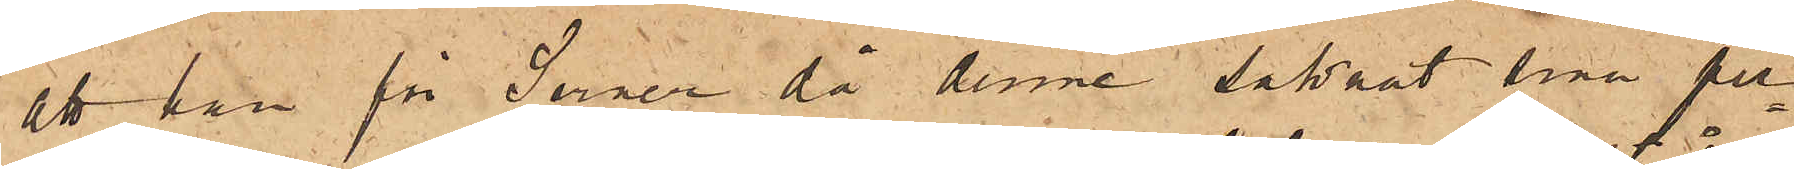att han för Serner, då denne saknat sina per¬
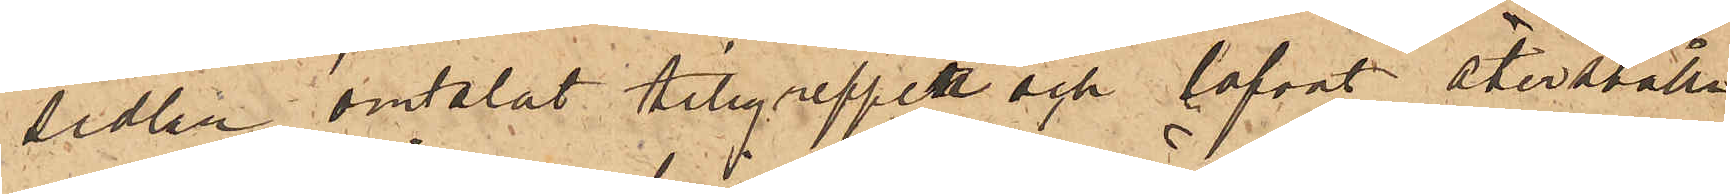sedlar omtalat tillgreppet och lofvat återställa
